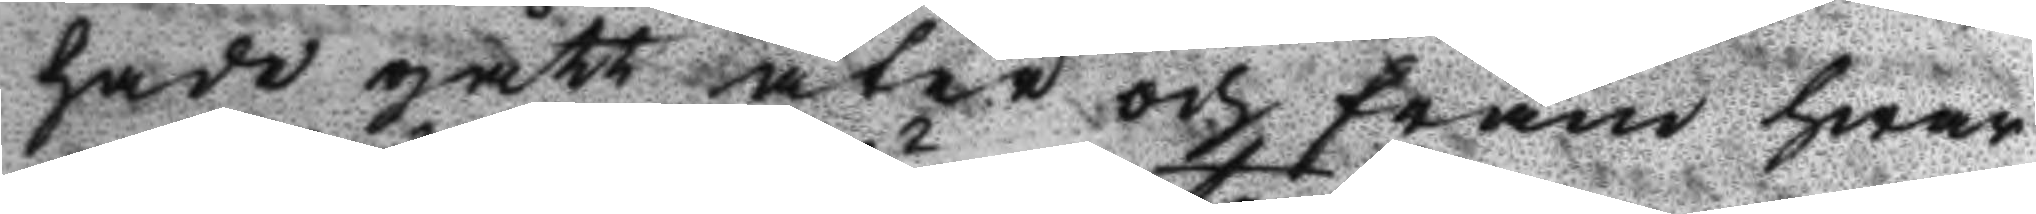hade gått åter och fram hwar
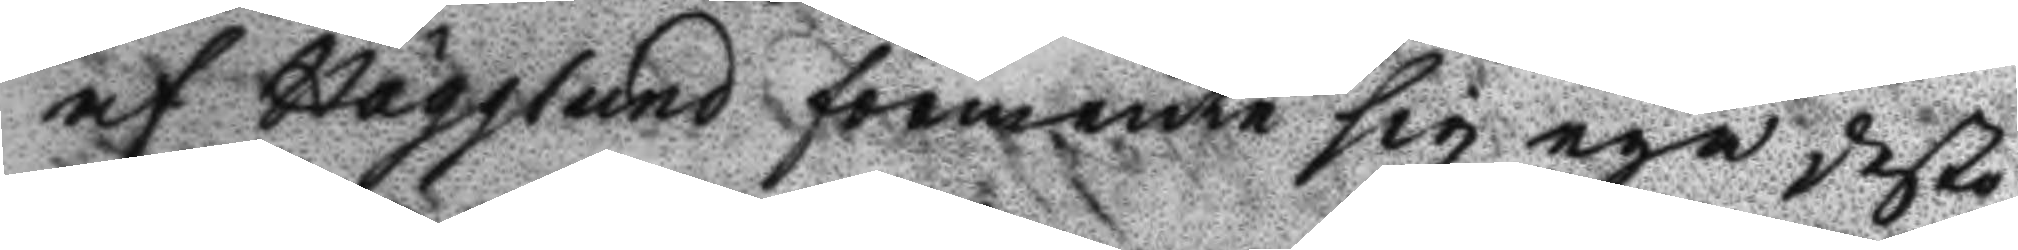af Hägglund förmente sig ega desto
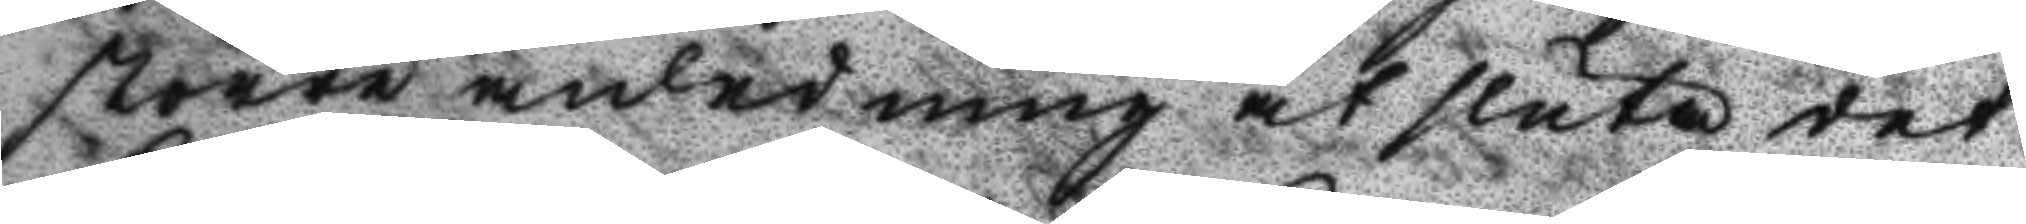större anledning at sluta det
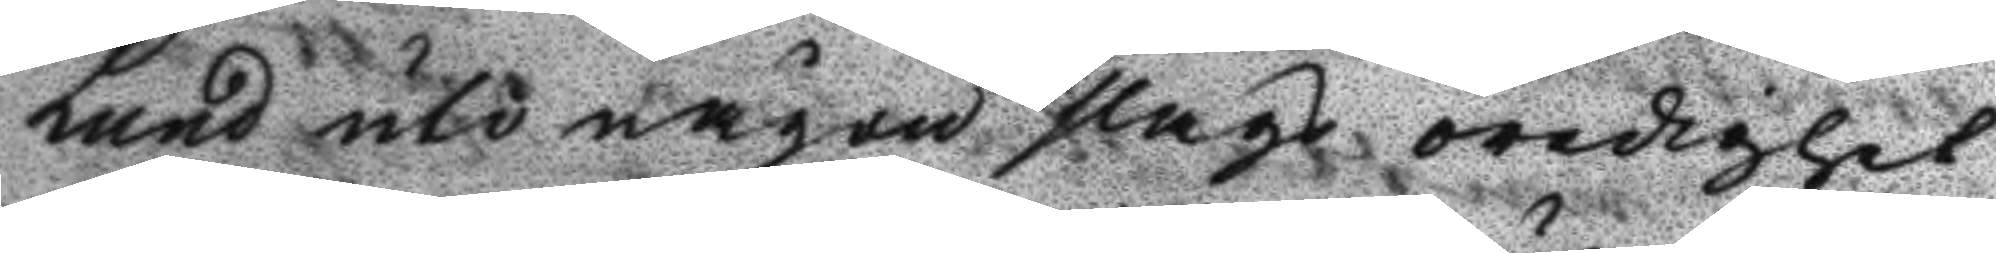Lund uti någon slags oredighet
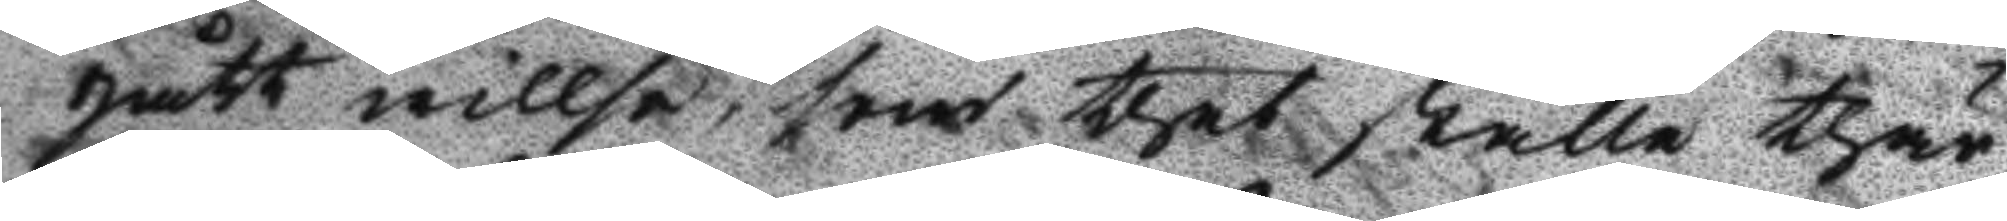gått willse, som thet ställe thär
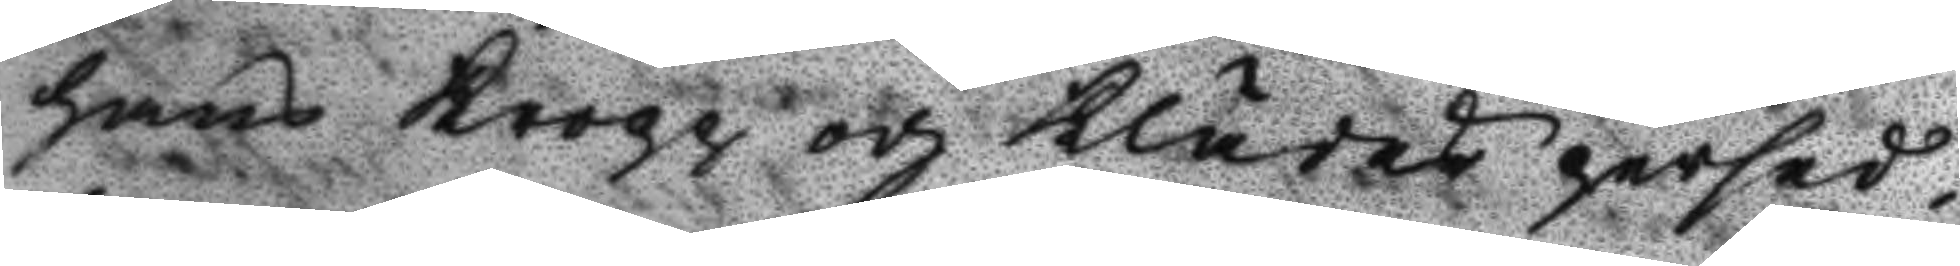hans kropp och klädes persed¬
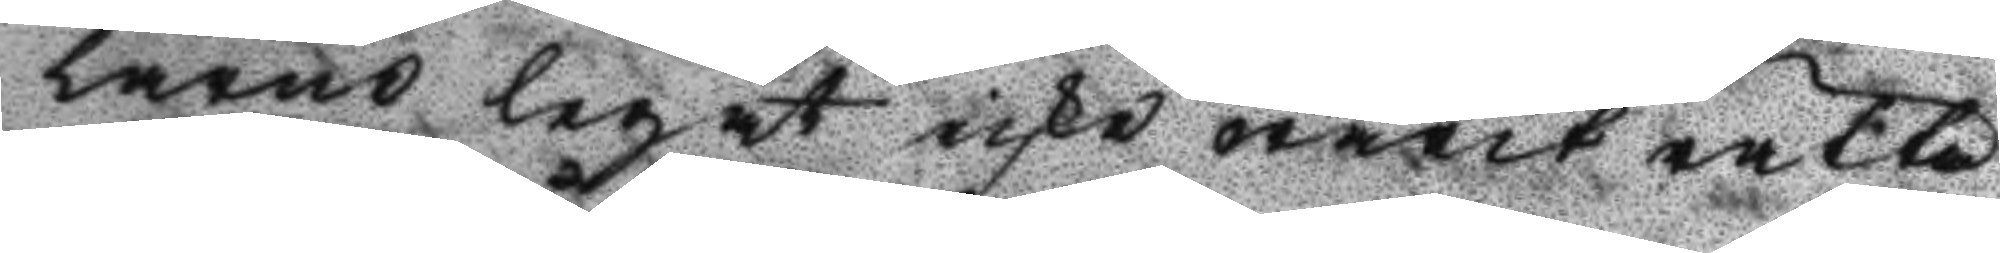larne legat icke warit rätta
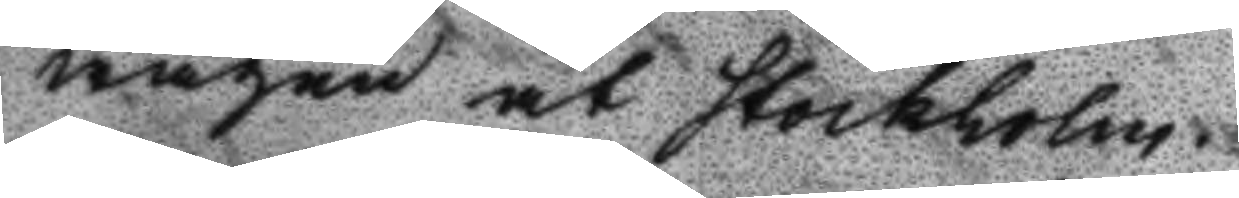wägen åt Stockholm.
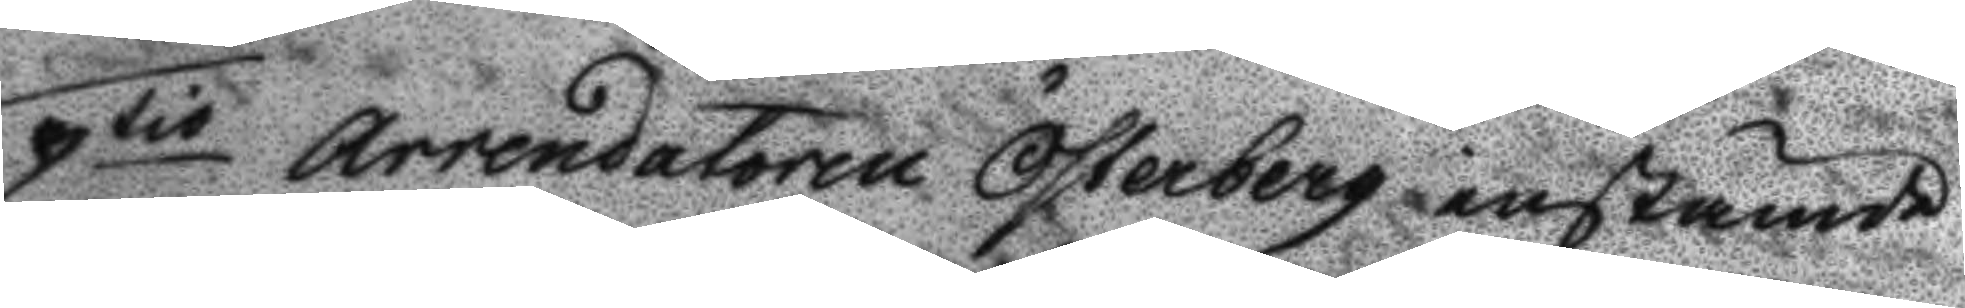qtio Arrendatoren österberg instämde
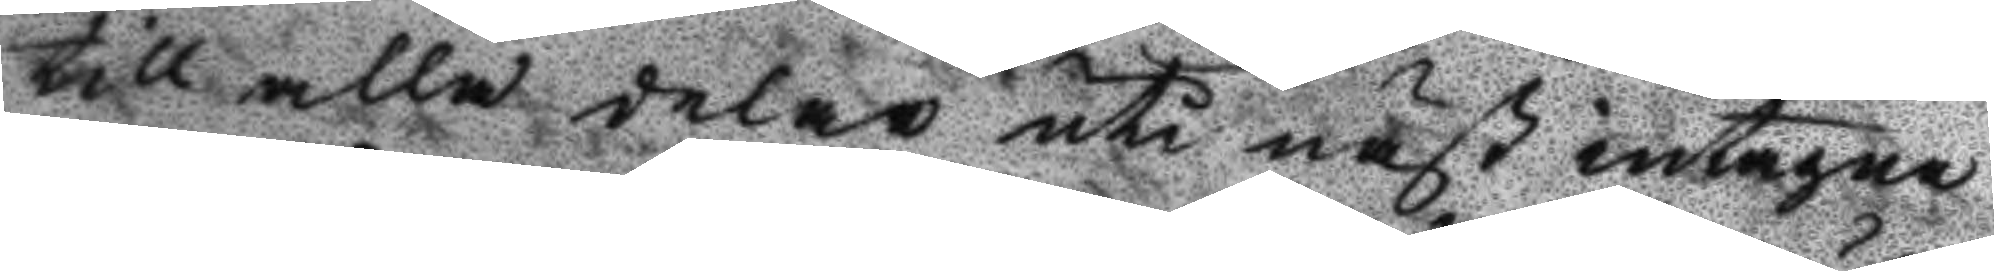till alla delar uti näst intagne
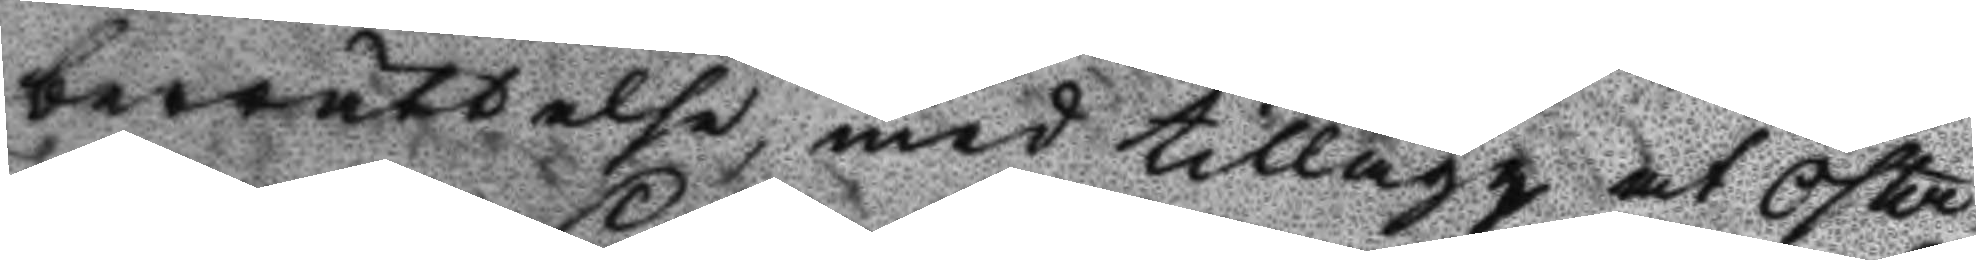berättelse, med tillägg at Öster¬
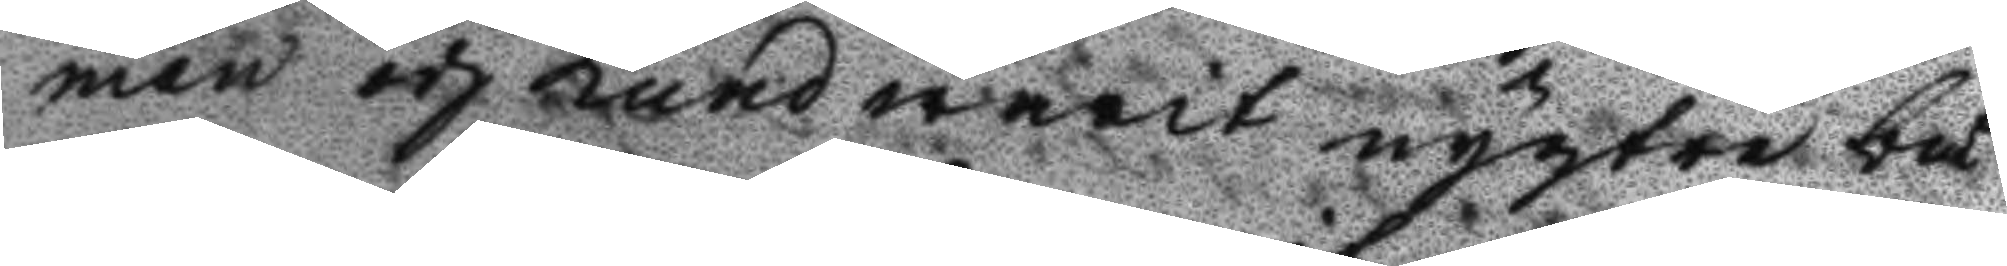man och Lund warit nyktra bå¬
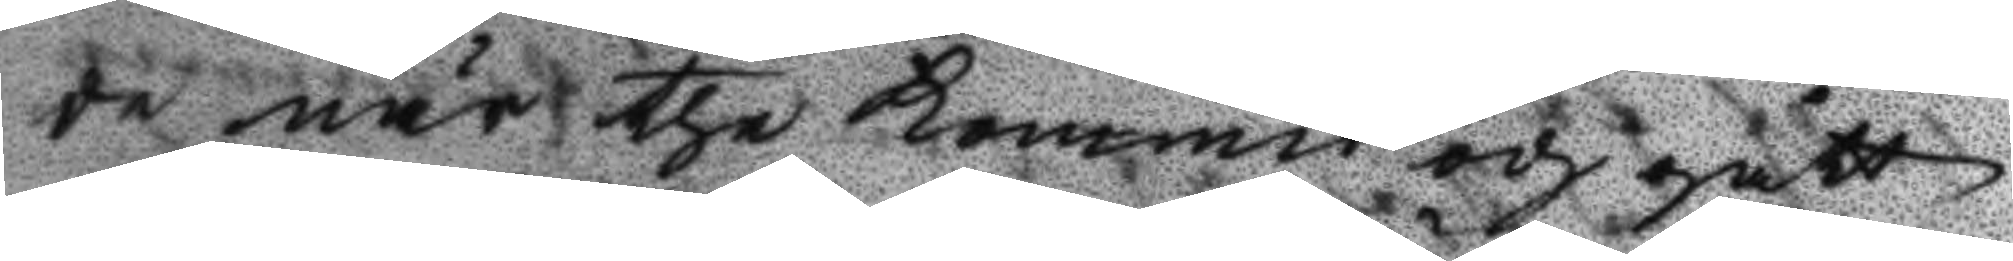de när the kommit och gått
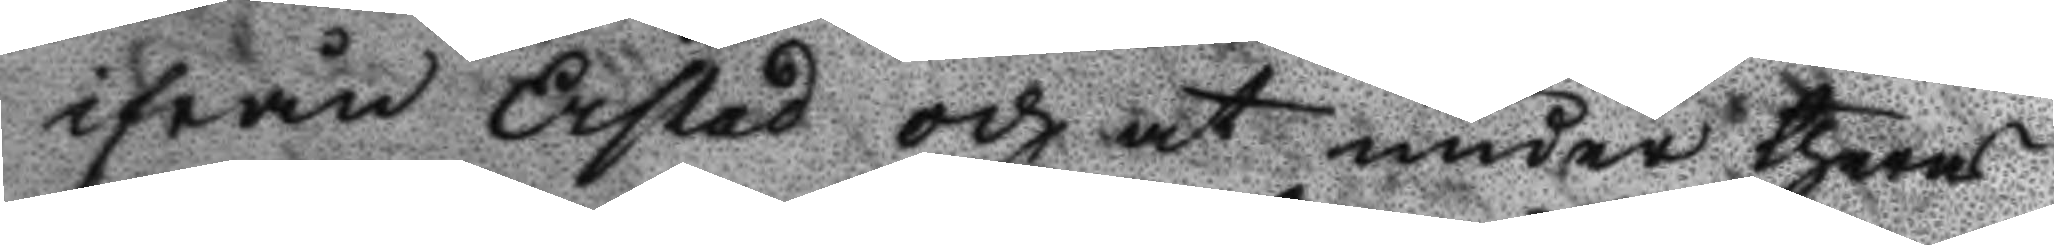ifrån Erstad och at under theras
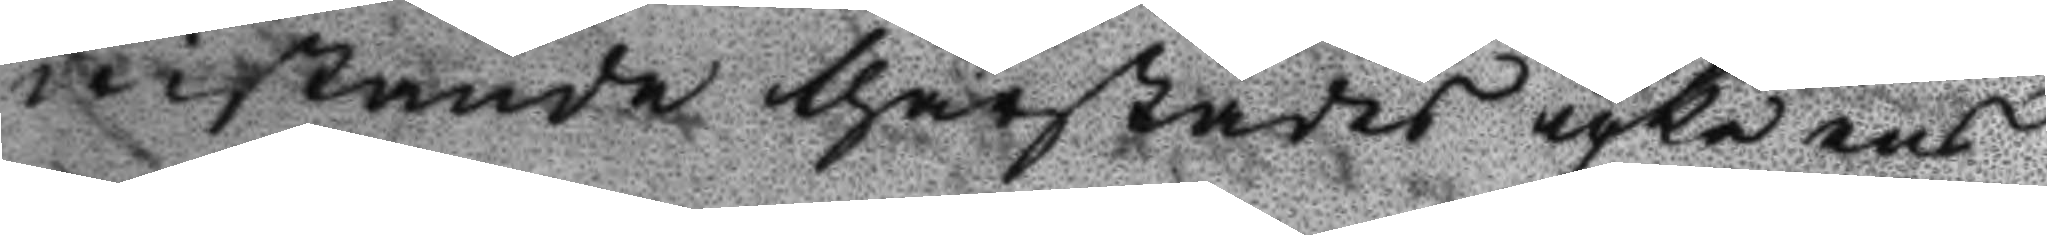wistande thärstädes icke ens
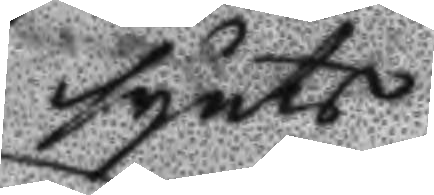synts
